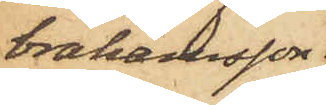brahamsson
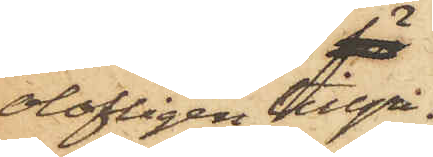olofligen tillgri¬
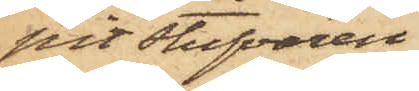pit Stufvaren
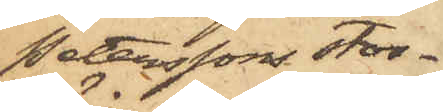Peterssons stor¬
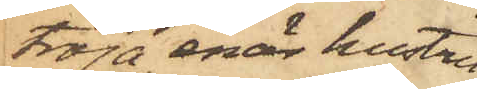tröja, enär hustru
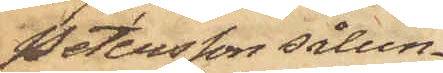Petersson sålun¬
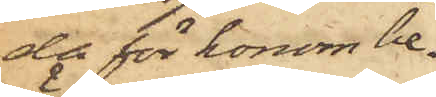da för honom be¬
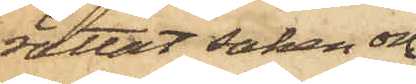rättat saken och
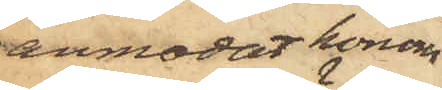anmodat honom
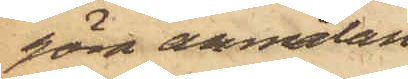göra anmälan
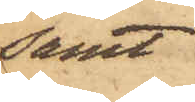samt
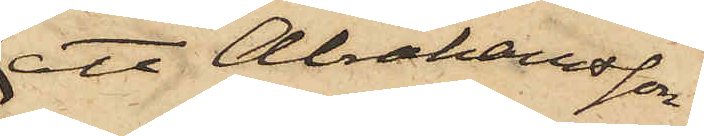att Abrahamsson
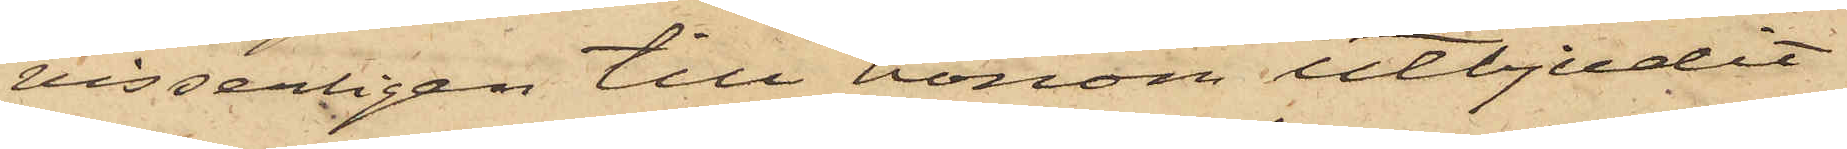visserligen till honom utbjudit
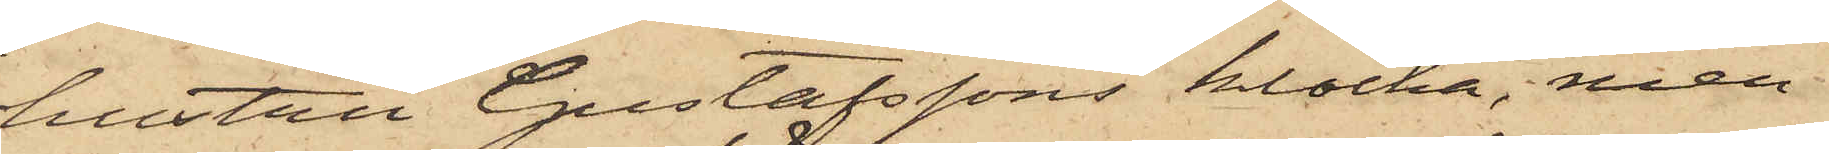hustru Gustafssons klocka, men
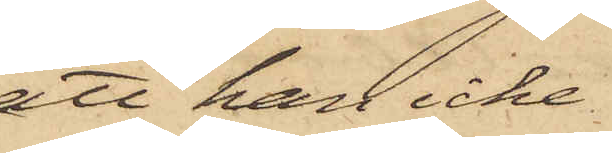att han icke
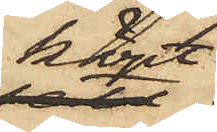köpt
